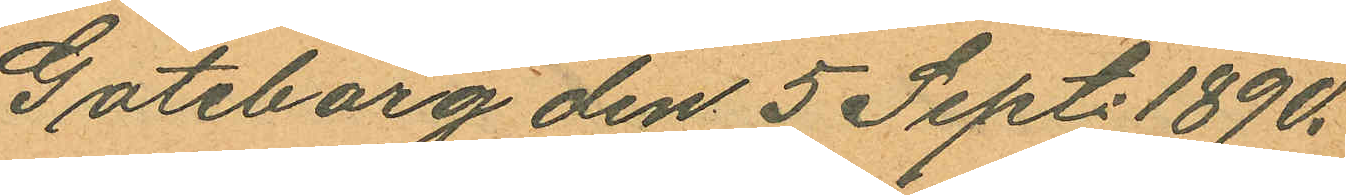Göteborg den 5 Sept. 1890.
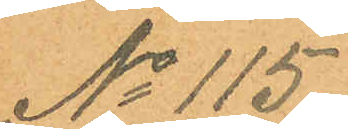No 115.
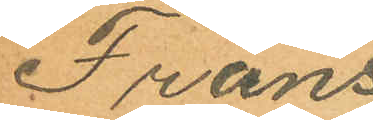Frans
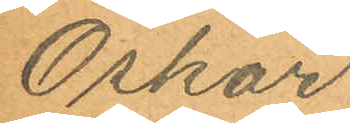Oskar
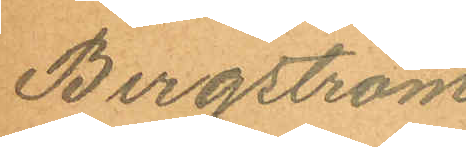Bergström
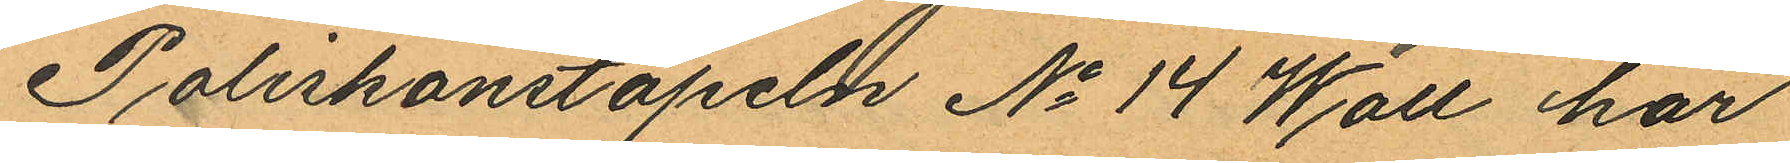Poliskonstapeln No 14 Wall har
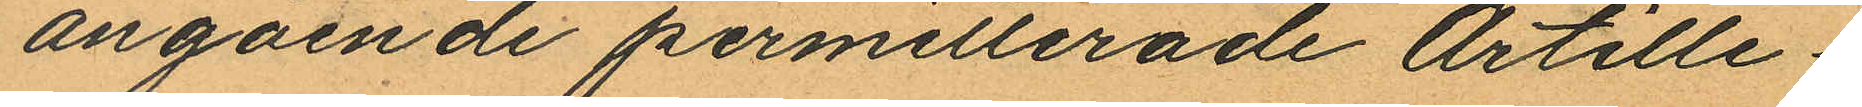angående permitterade Artille¬
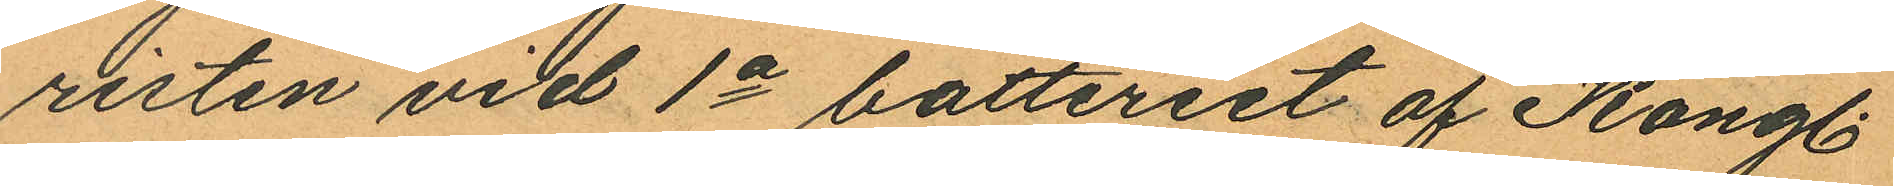risten vid 1a batteriet af Kongl.
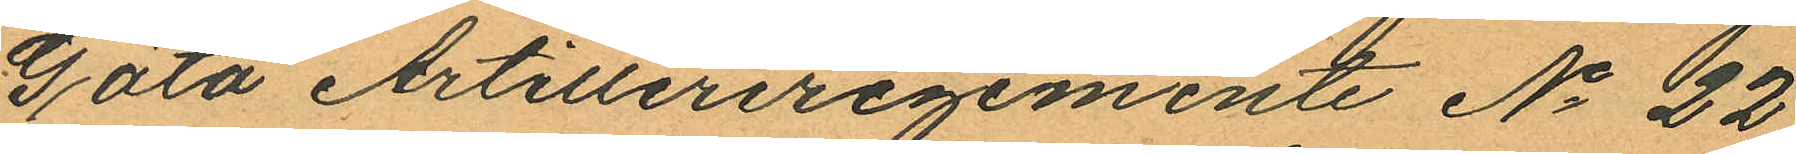Göta Artilleriregemente No 22
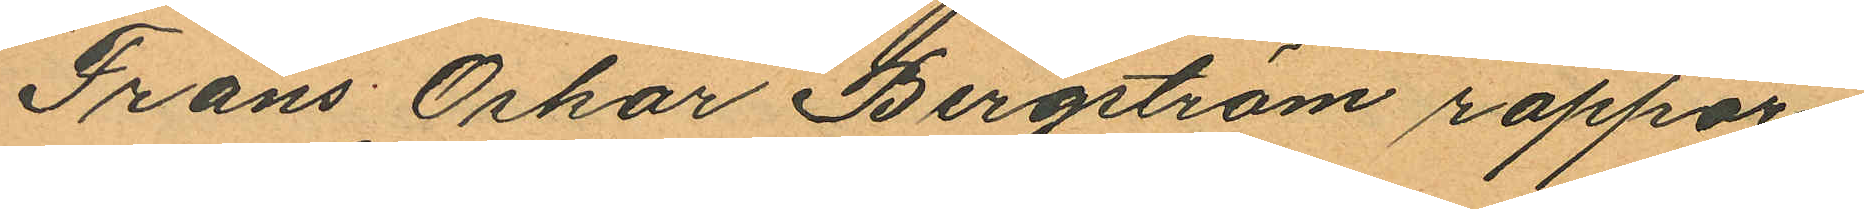Frans Oskar Bergström rappor¬
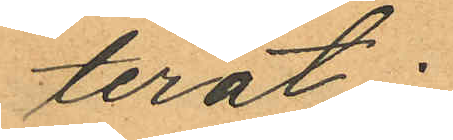terat:
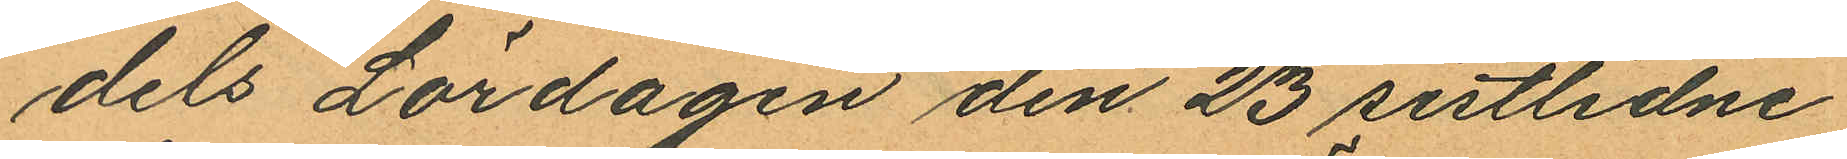dels Lördagen den 23 sistlidne
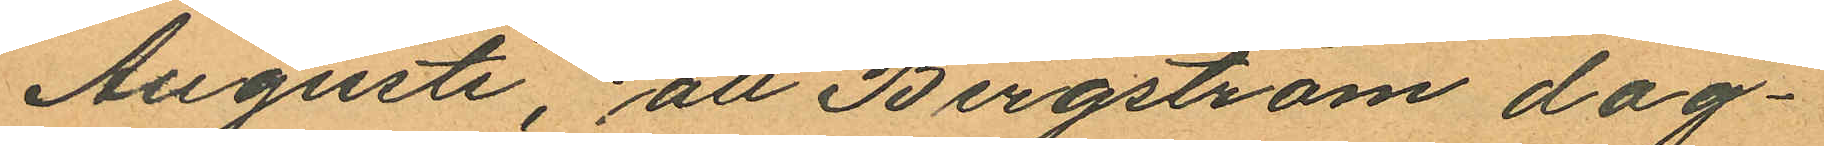Augusti, att Bergström dag¬
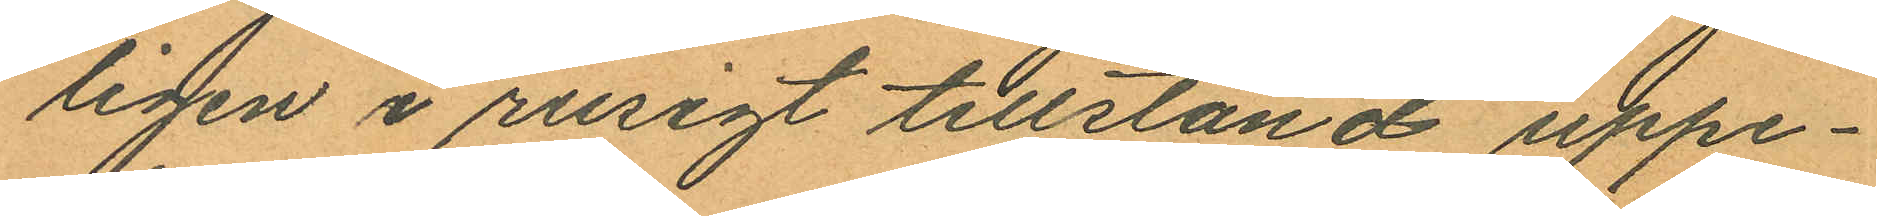ligen i rusigt tillstånd uppe¬
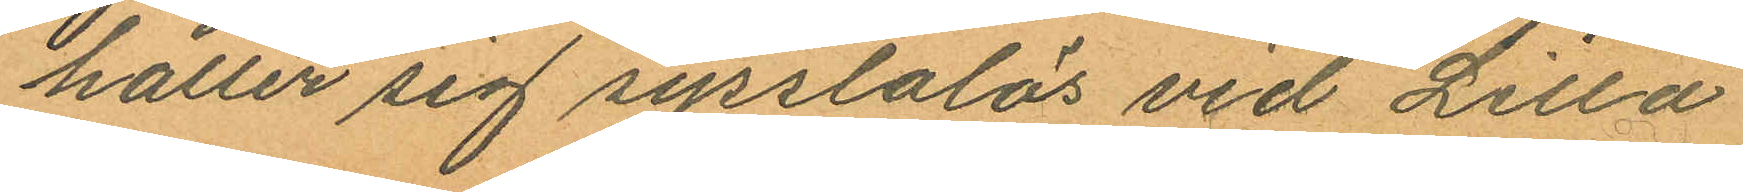håller sig sysslolös vid Lilla
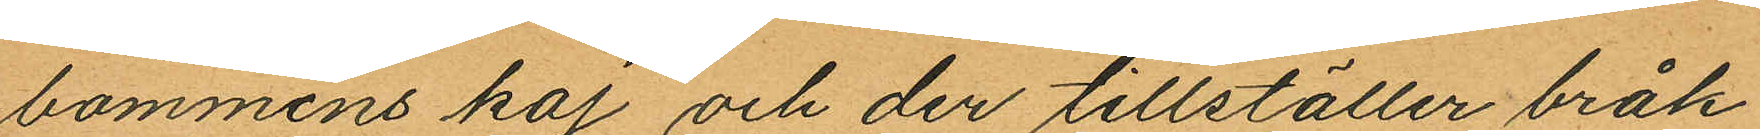bommens kaj och der tillställer bråk
